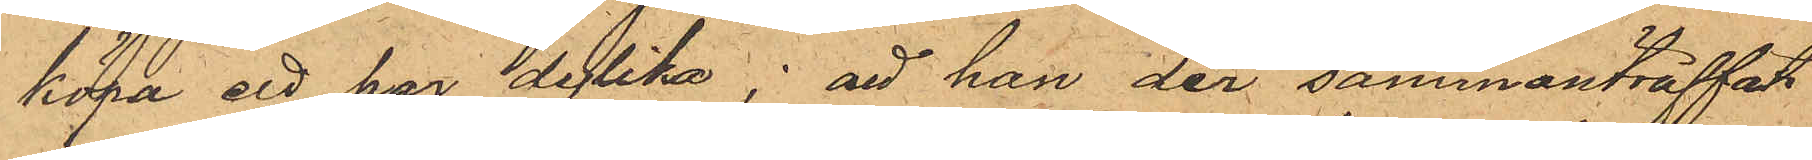köpa ett par dylika; att han der sammanträffat
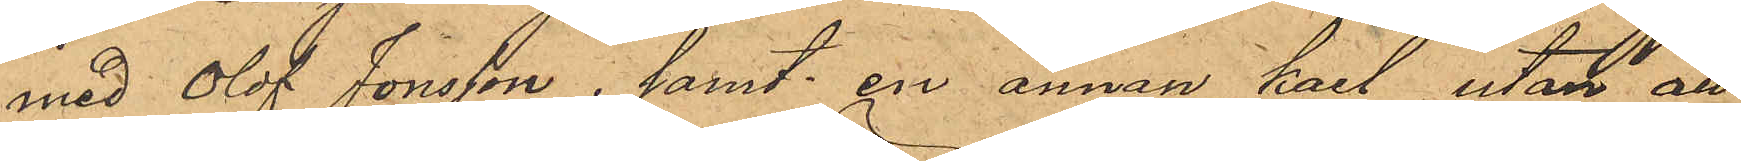med Olof Jonsson; samt en annan karl, utan att
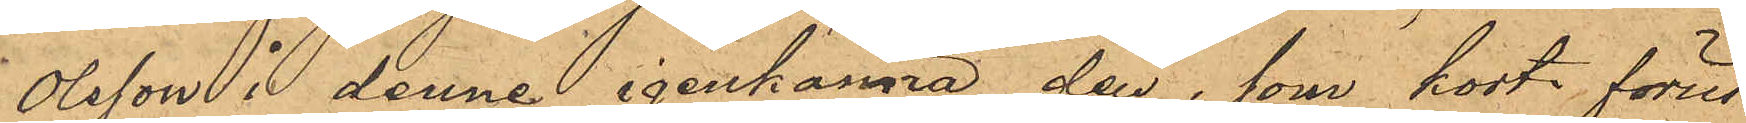Olsson i denne igenkänna den, som kort förut
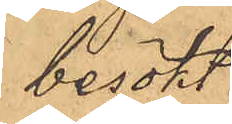besökt
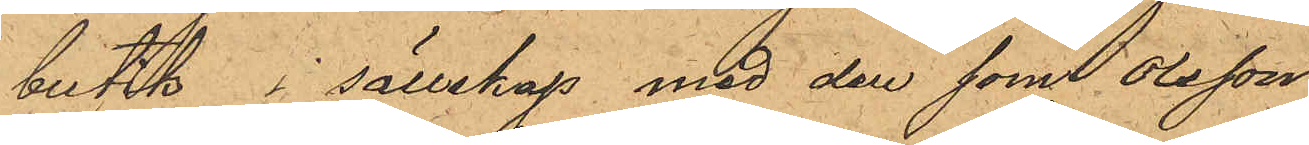butik, i sällskap med den som Olsson
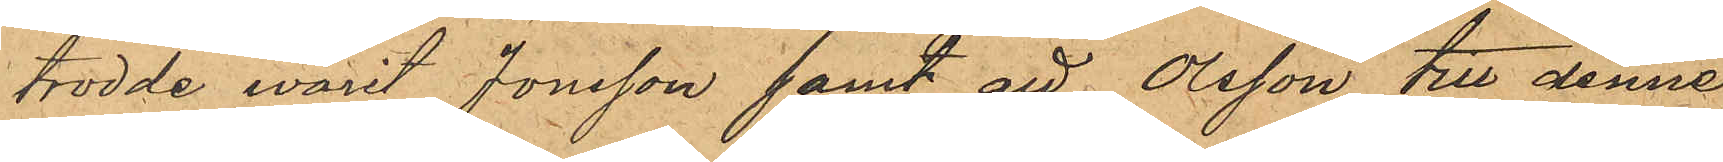trodde warit Jonsson samt att Olsson till denne,
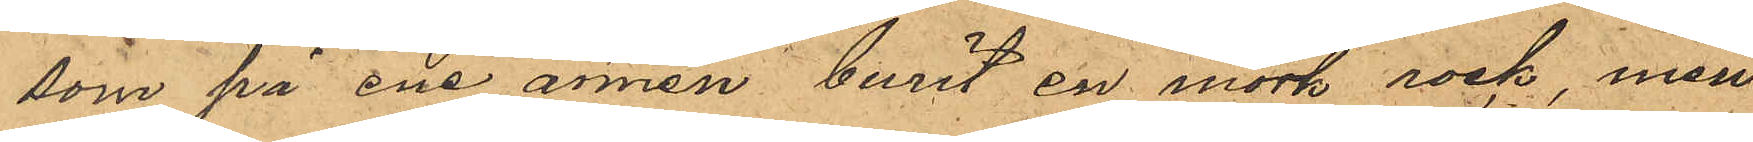som på ene armen burit en mörk rock, men
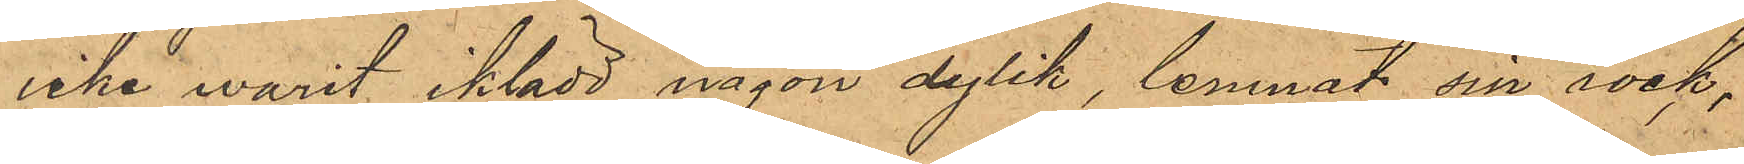icke warit iklädd någon dylik, lemnat sin rock,
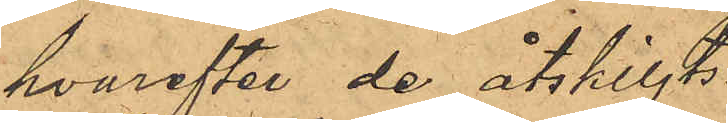hvarefter de åtskiljt.
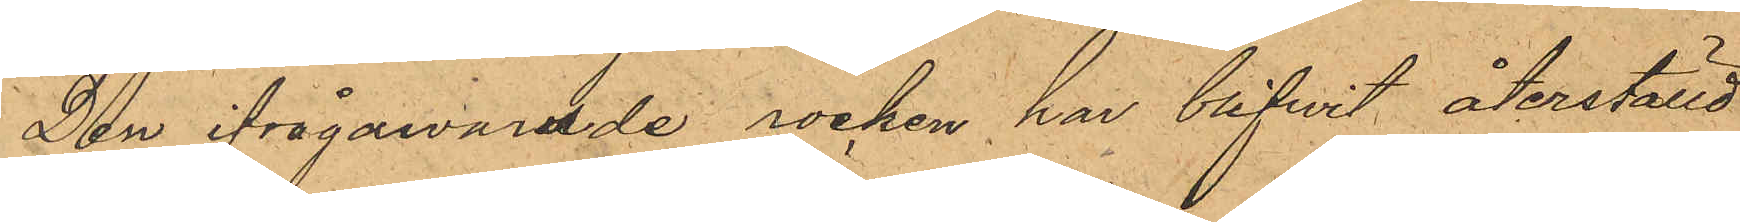Den ifrågawarade rocken har blifvit återställd
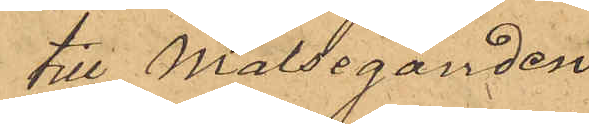till Målseganden.
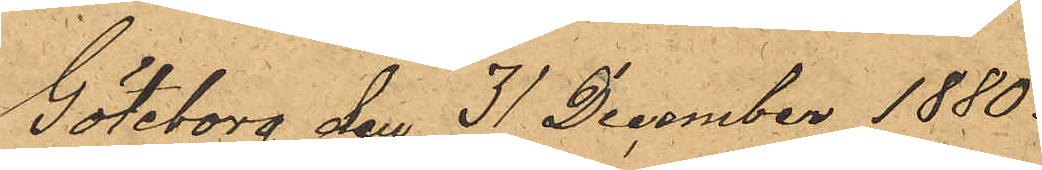Göteborg den 31 December 1880.
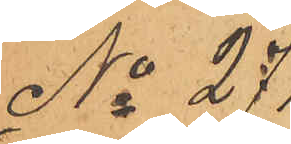No 271.
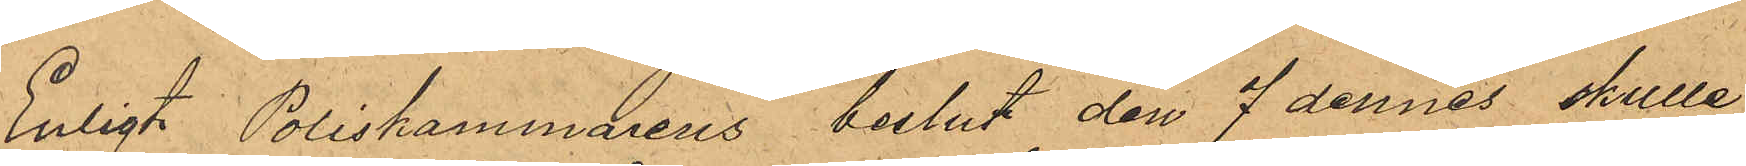Enligt Poliskammarens beslut den 7 dennes skulle
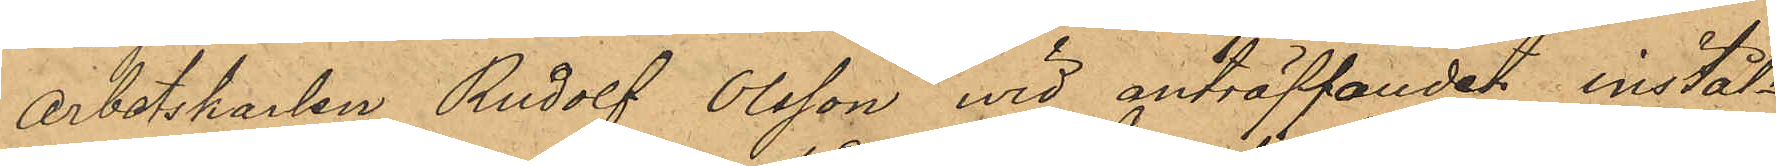arbetskarlen Rudolf Olsson wid anträffandet inställ¬
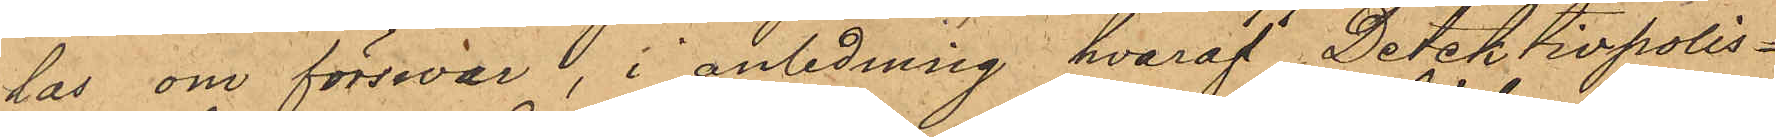las om förswar i anledning hvaraf Detektivpolis¬
